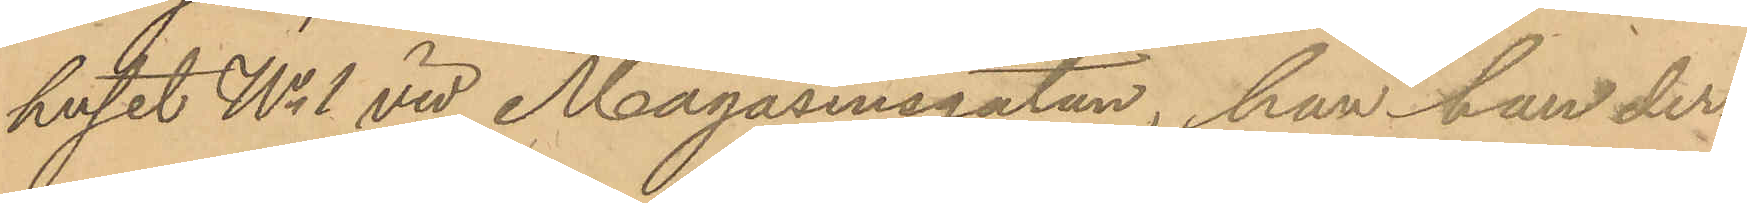huset No 1 vid Magasinsgatan, han han der¬
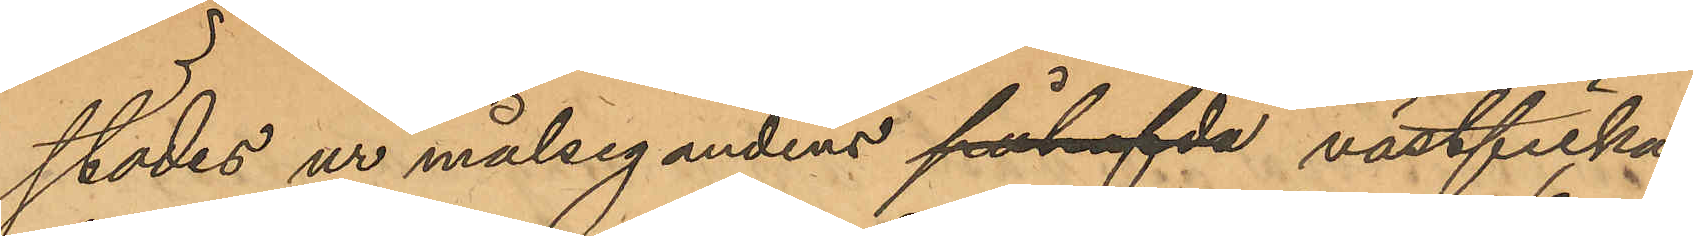städes ur målsegandens påhafda västficka
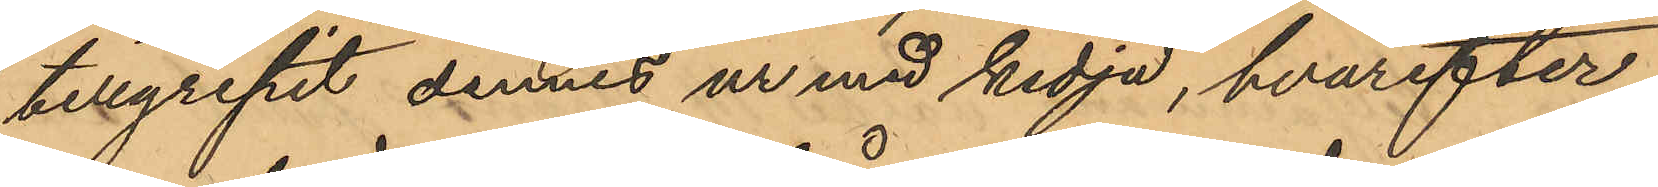tillgripit dennes ur med kedja, hvarefter
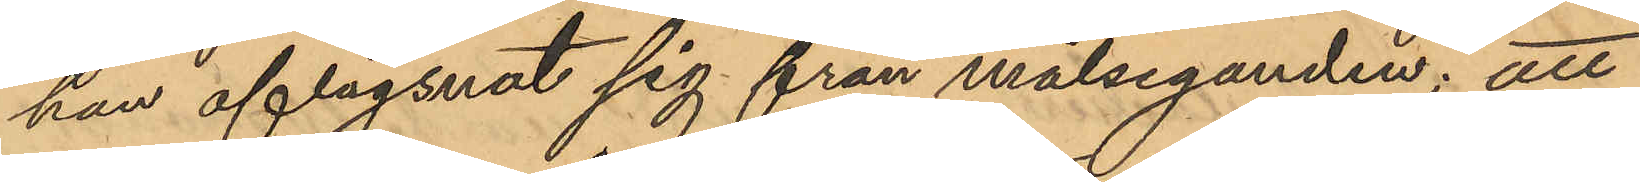han aflägsnat sig från målseganden; att
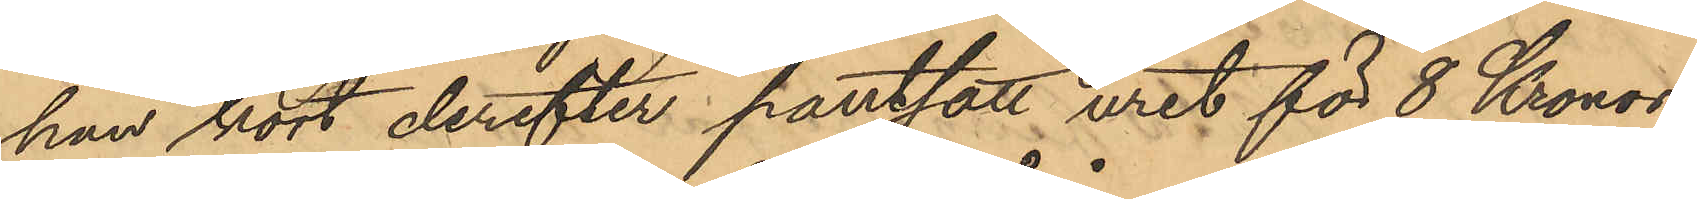han kort derefter pantsatt uret för 8 Kronor
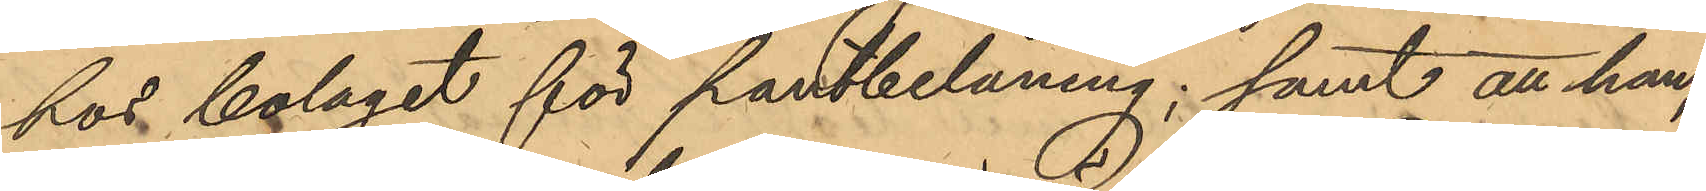hos bolaget för pantbelåning; samt att han,
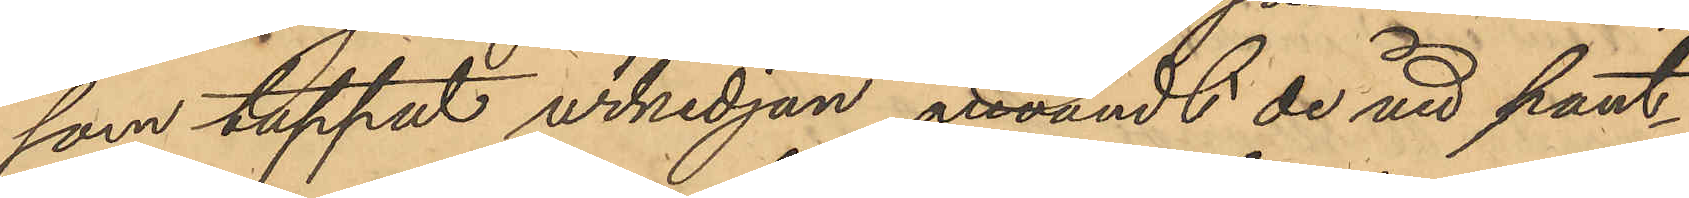som tappat urkedjan antvändt de vid pant¬
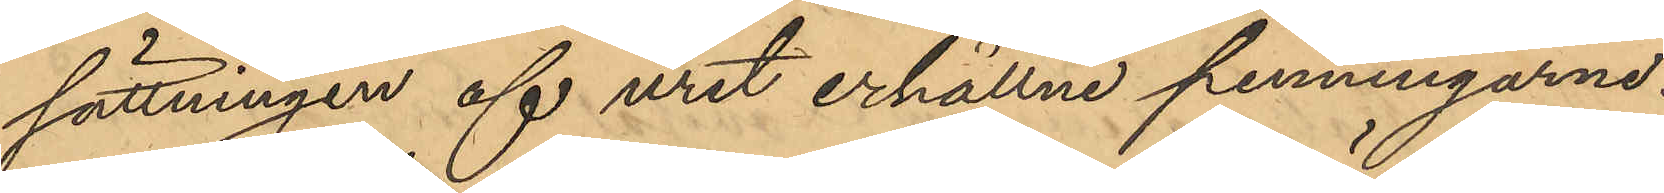sättningen af uret erhållne penningarne.
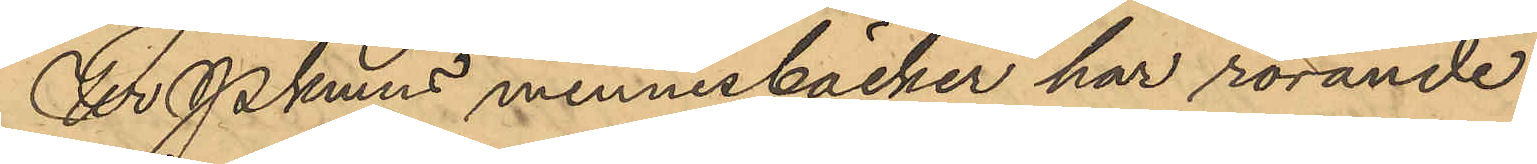Ur Pkmns minnesböcker har rörande
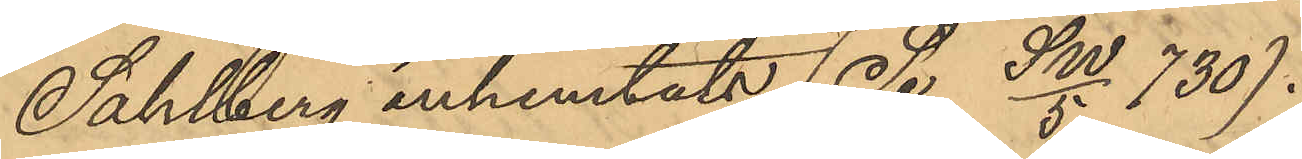Sahlberg inhemtats (Se SW/5 730).
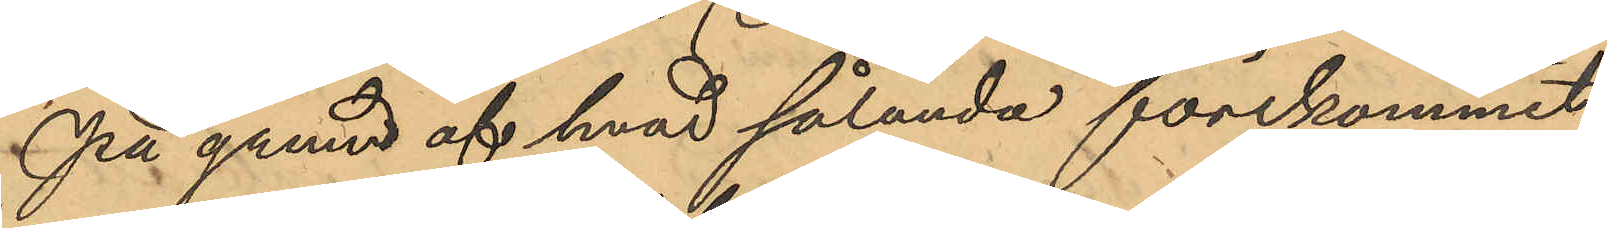På grund af hvad sålunda förekommit
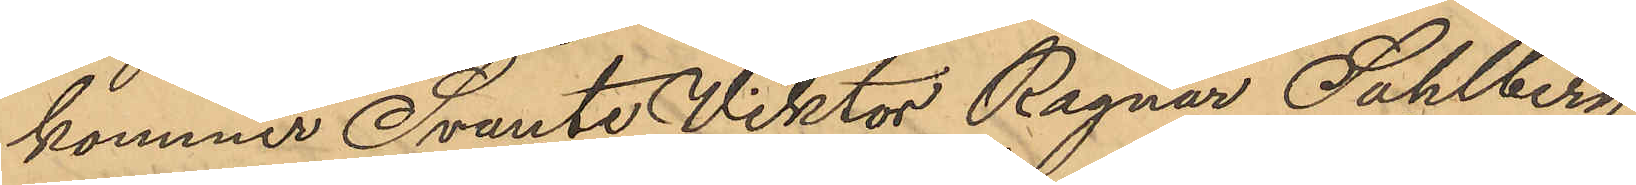kommer Svante Viktor Ragnar Sahlberg
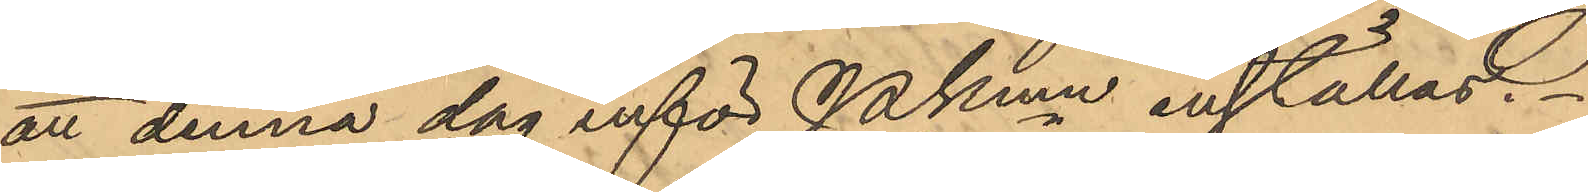att denna dag inför Pkmn inställas.
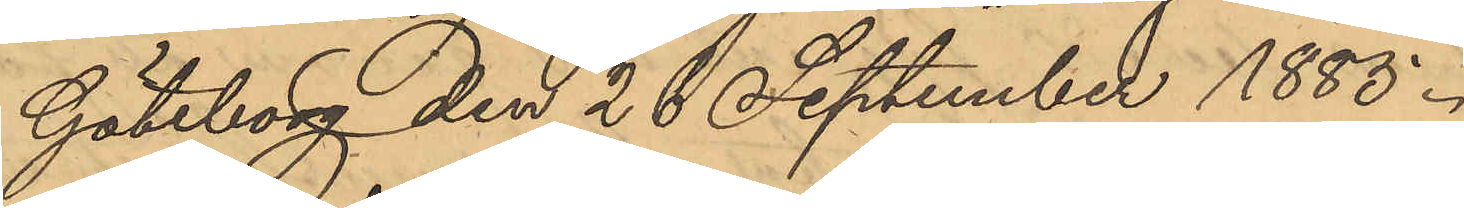Göteborg den 28 September 1885.
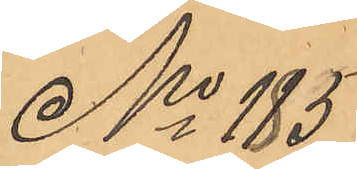No 185
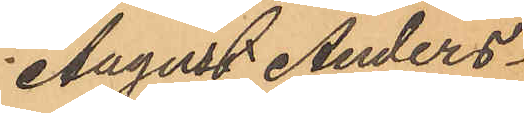August Anders¬
